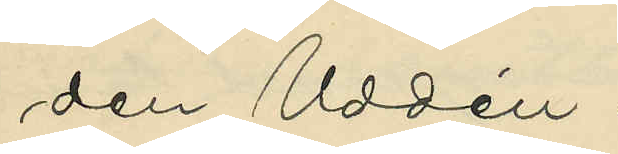den Uddén.
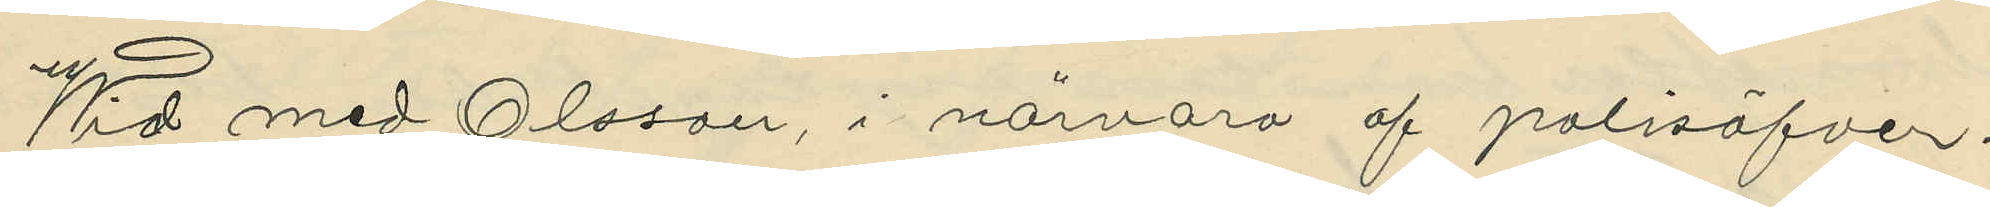Wid med Olsson, i närvaro af polisöfver¬
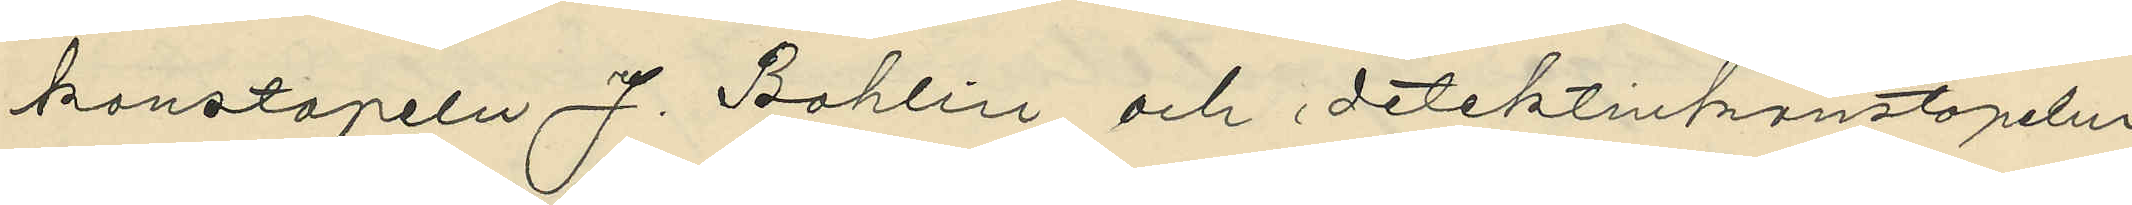konstapeln J. Bohlin och detektivkonstapelm
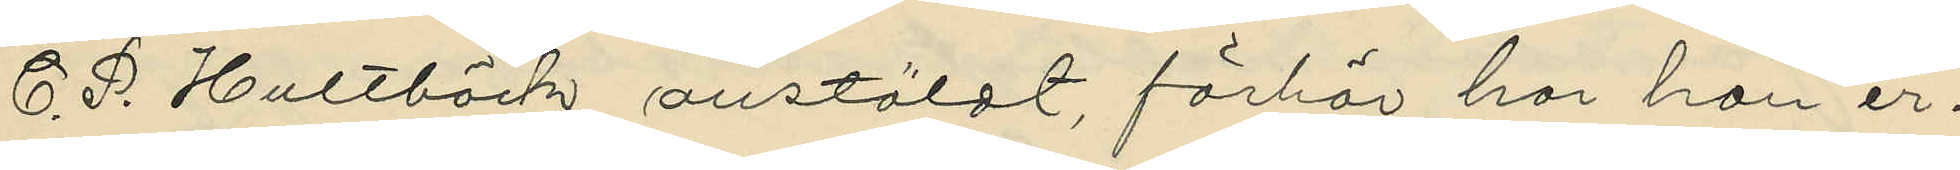C. P. Hultbäck anstäldt, förhör har han er¬
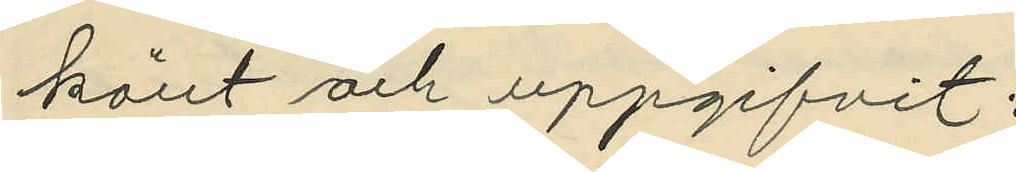känt och uppgifvit:
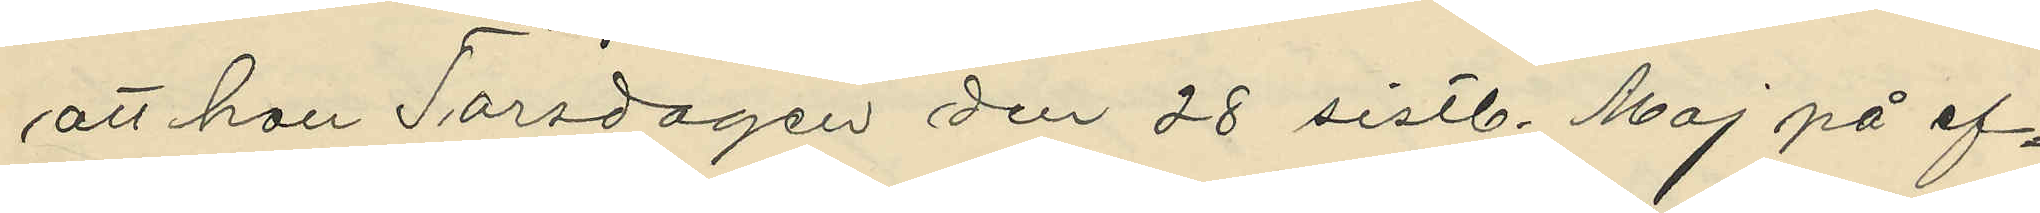att han Torsdagen den 28 sistl. Maj på ef¬
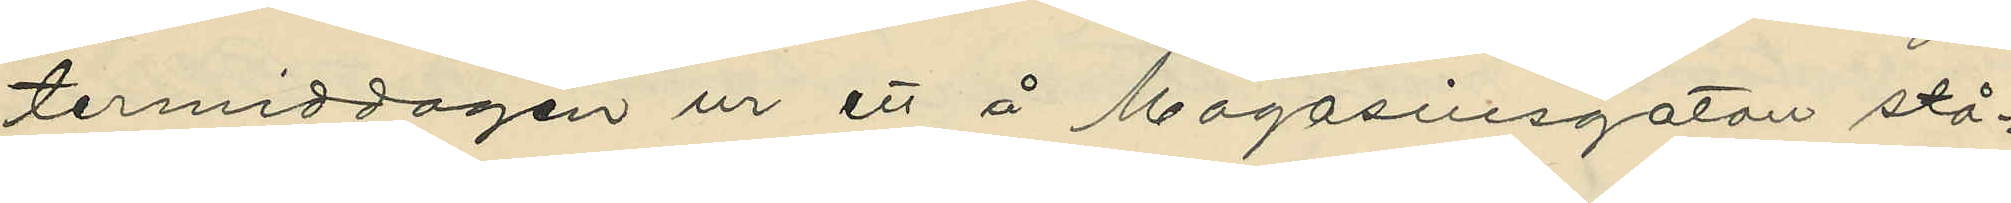termiddagen ur ett å Magasinsgatan stå¬
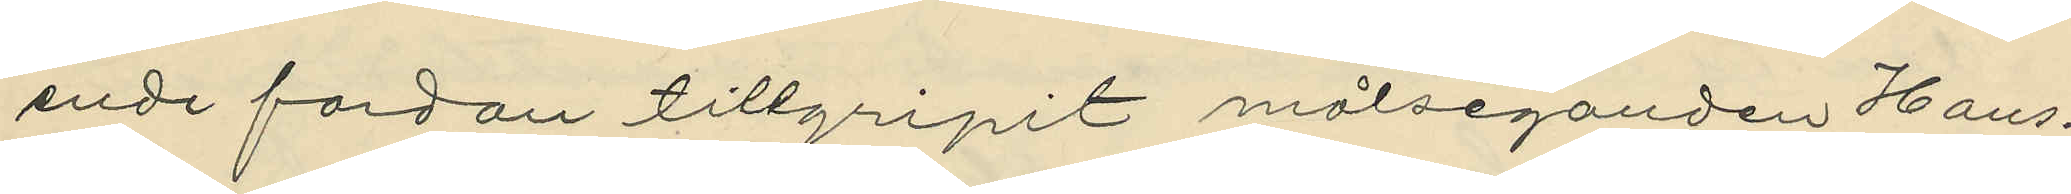ende fordon tillgripit målseganden Hans¬
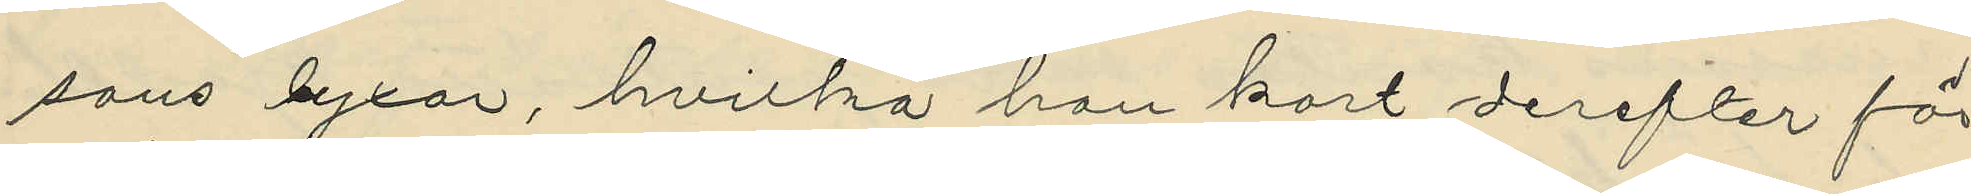sons byxor, hvilka han kort derefter för
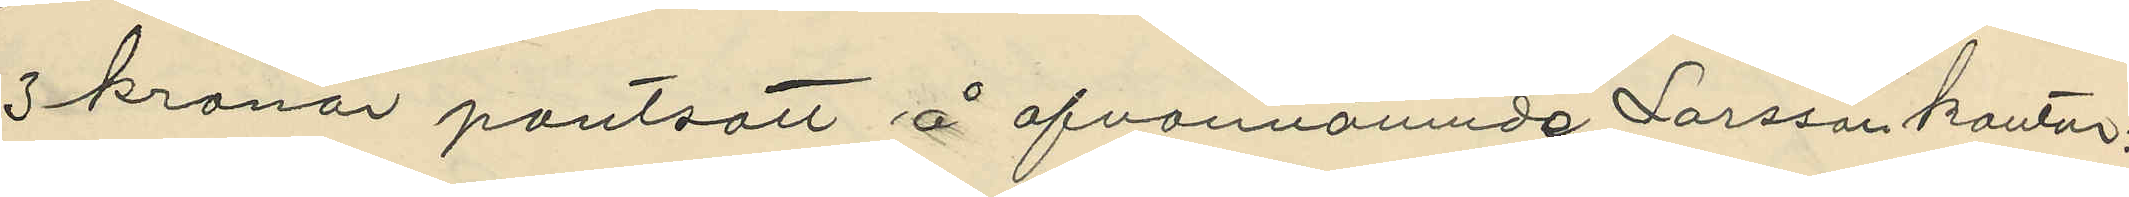3 kronor pantsatt å ofvannämnde Larsson kontor;
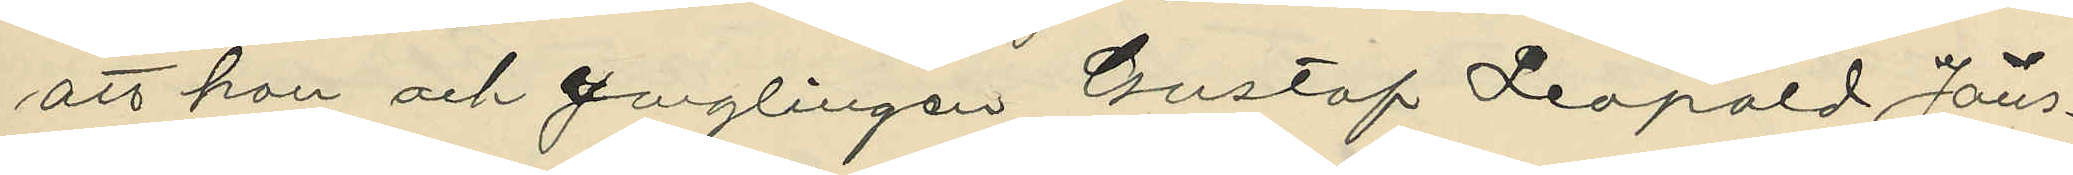att han och ynglingen Gustaf Leopold Jöns¬
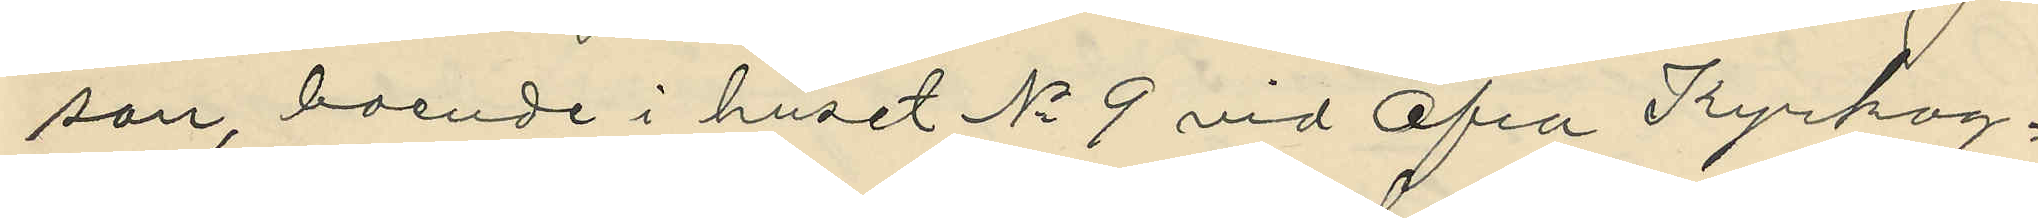son, boende i huset No 9 vid Öfra Kyrkog¬
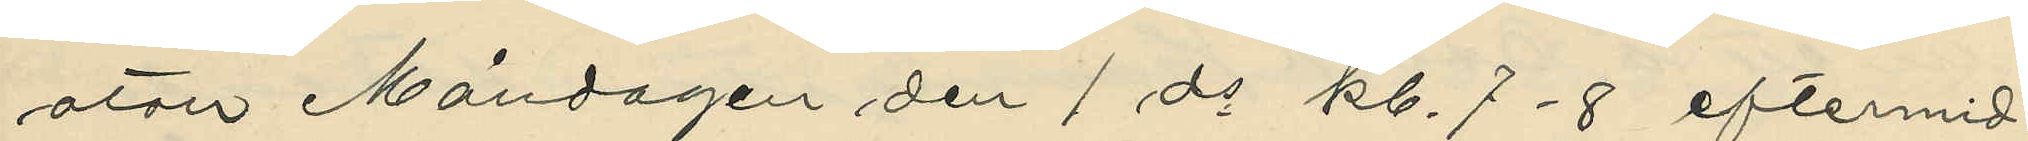atan Måndagen den 1 ds kl. 7-8 eftermid¬
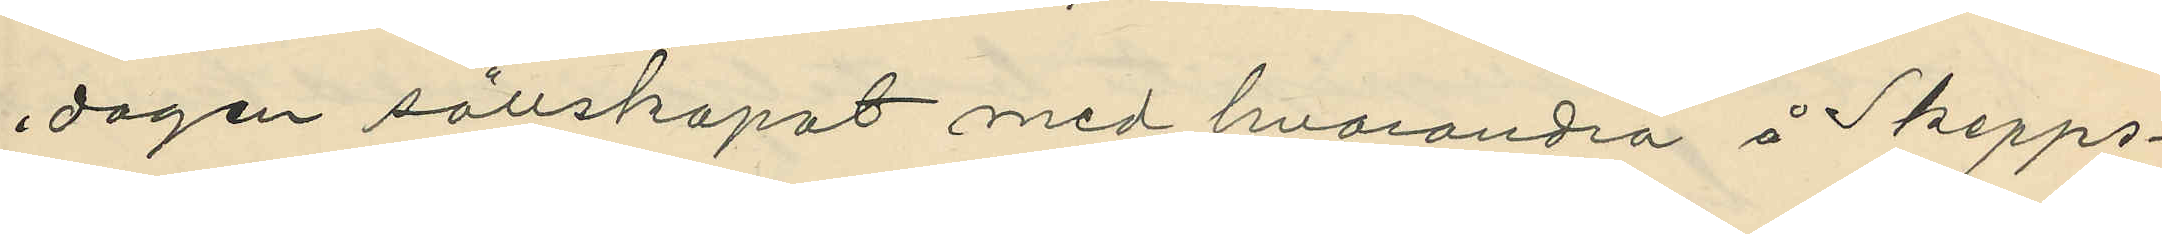dagen sällskapat med hvarandra å Skepps¬
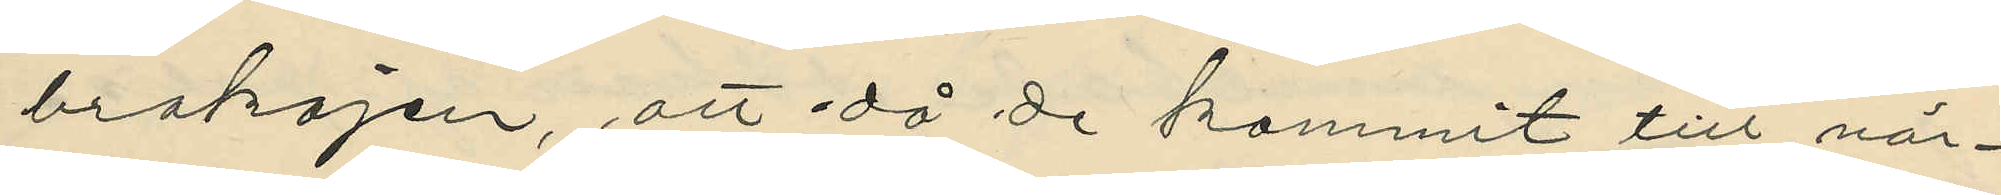brokajen, att då de kommit till när¬
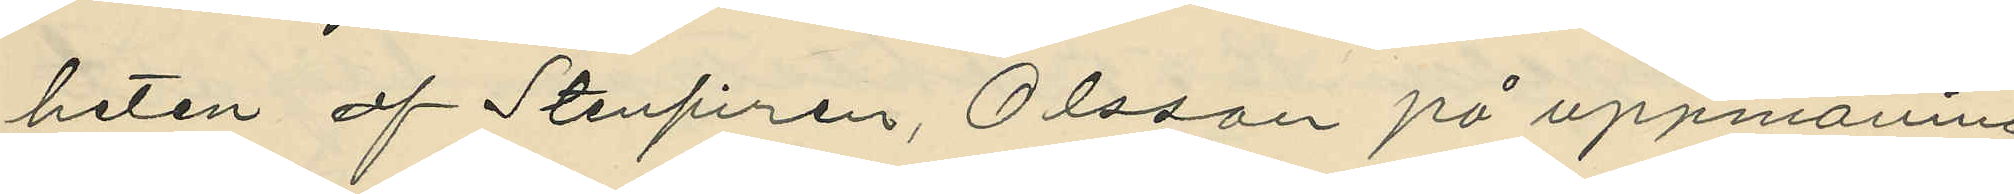heten af Stenpiren, Olsson på uppmaning
